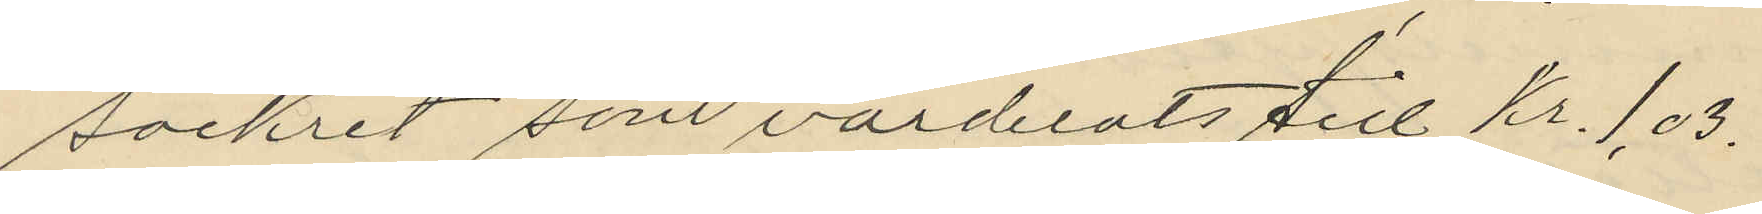sockret som värderats till kr. 1,03.
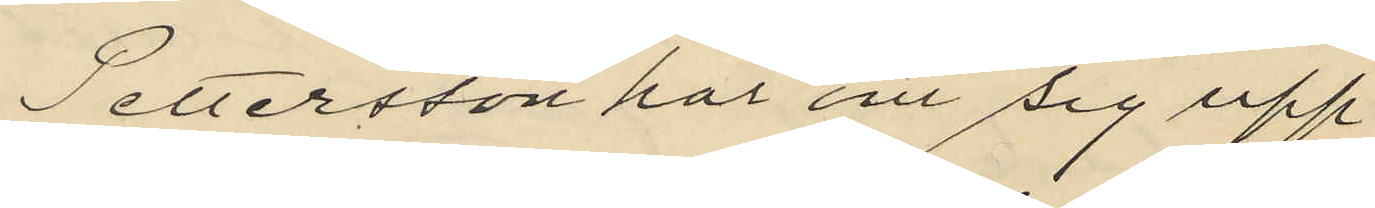Pettersson har om sig upp¬
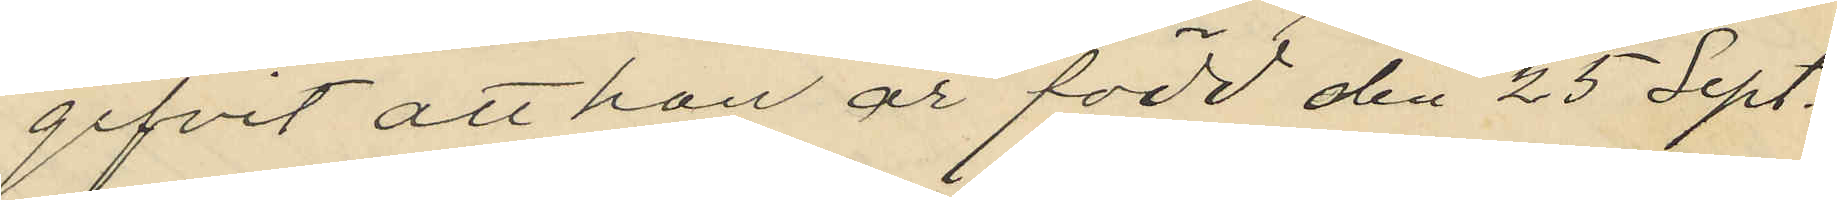gifvit att hon är född den 25 Sept.
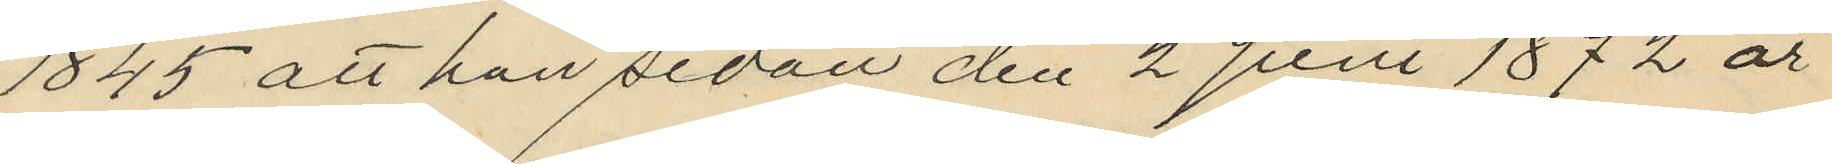1845 att hon sedan den 2 Juni 1872 är
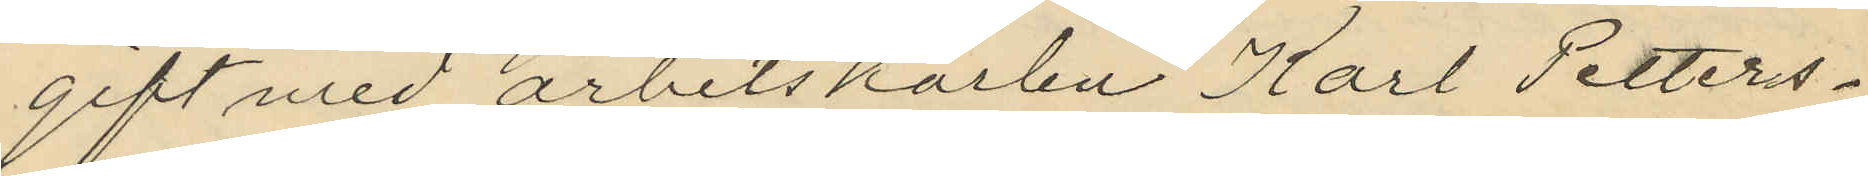gift med arbetskarlen Karl Petters¬
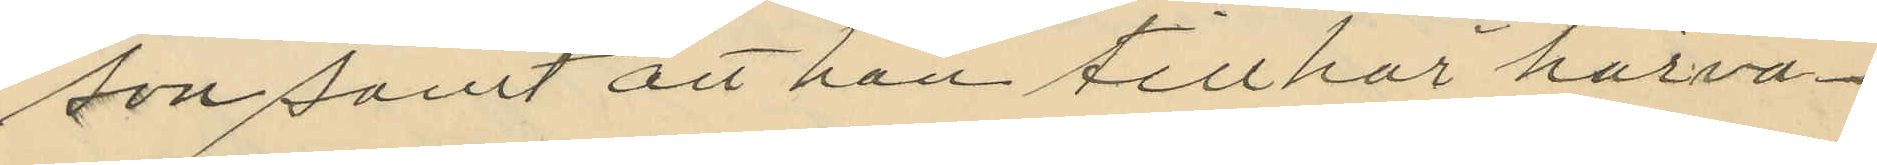son samt att hon tillhör härva¬
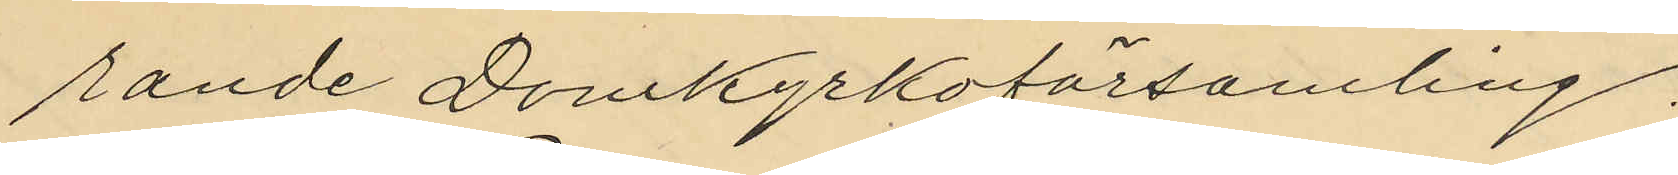rande Domkyrkoförsamling.
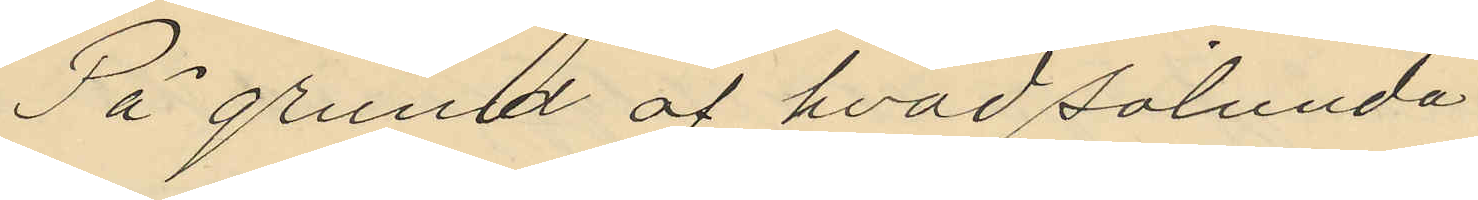På grund af hvad sålunda
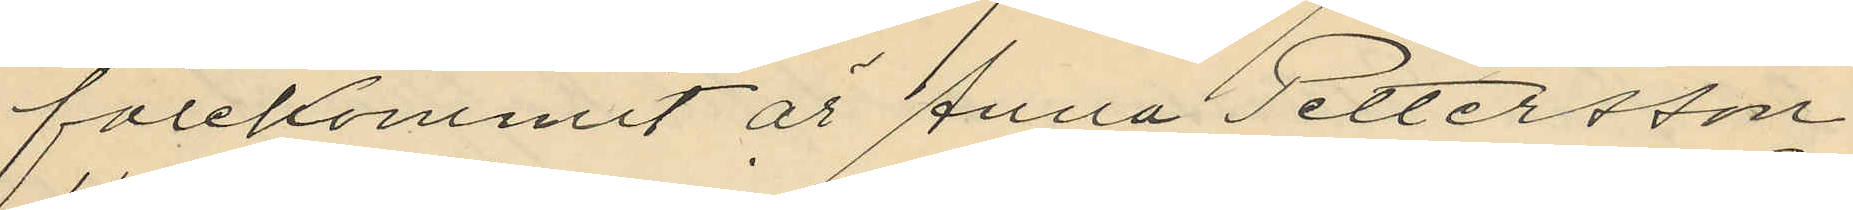förekommit är Anna Pettersson
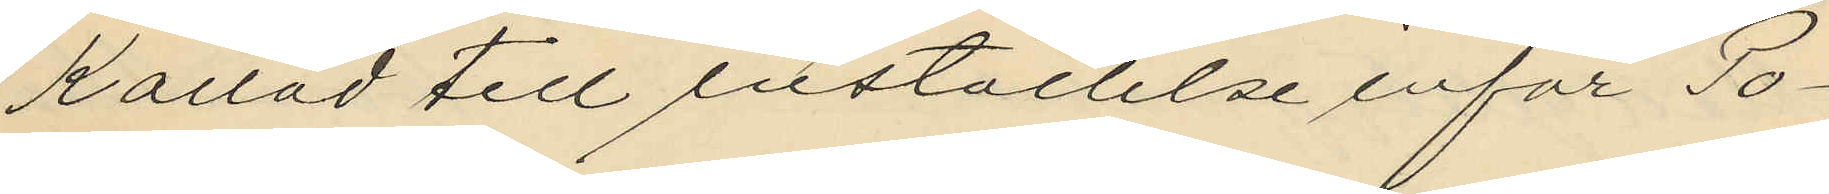kallad till inställelse inför Po¬
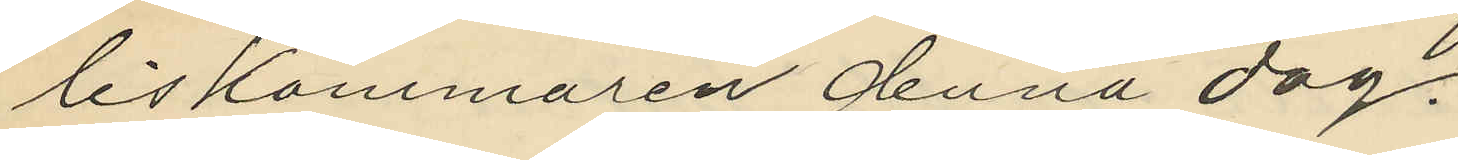liskammaren denna dag.
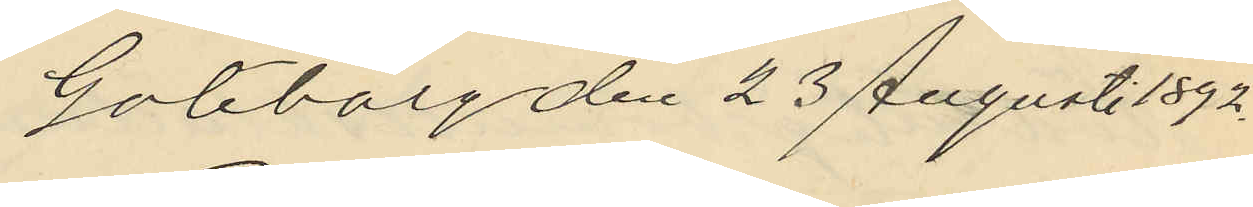Göteborg den 23 Augusti 1892.
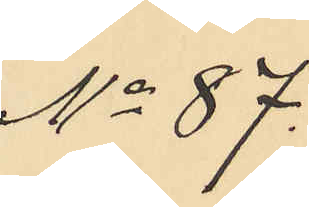No 87.
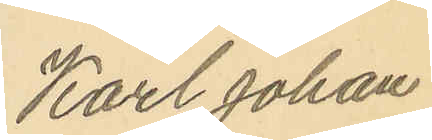Karl Johan
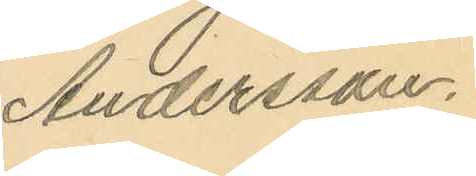Andersson.
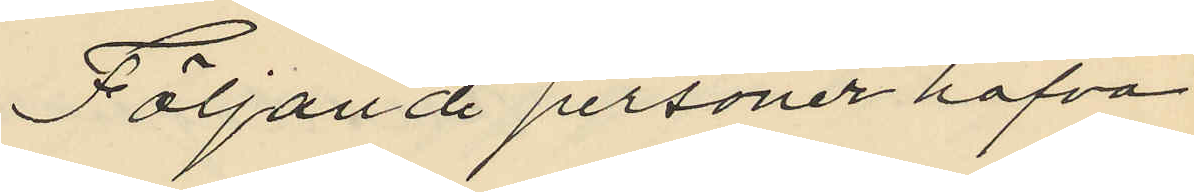Följande personer hafva
